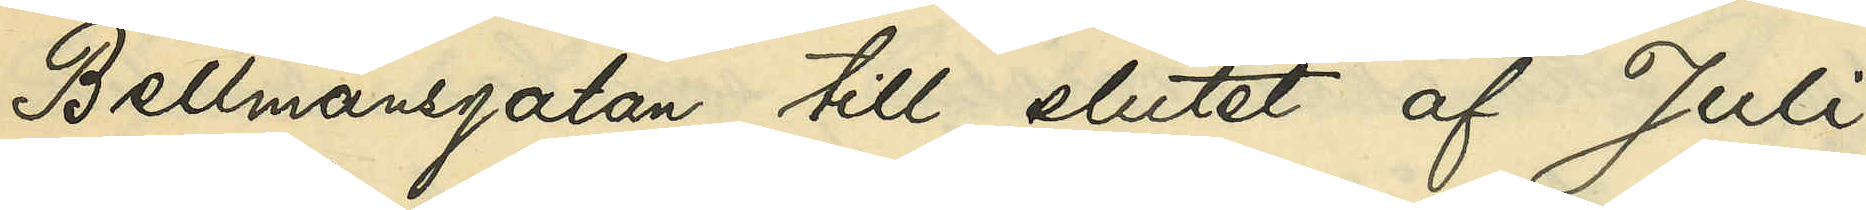Bellmansgatan till slutet af Juli
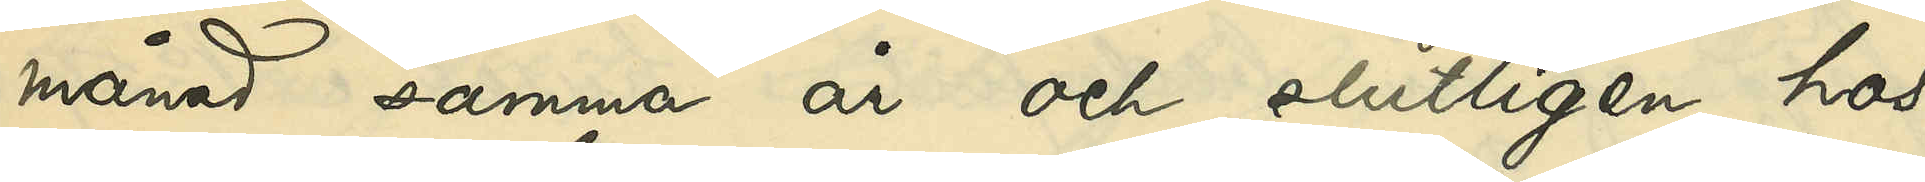månad samma år och slutligen hos
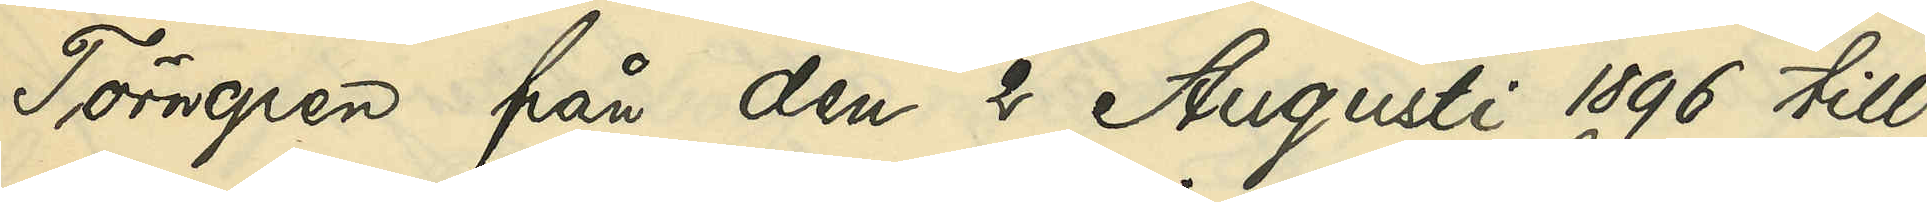Törngren från den 2 Augusti 1896 till
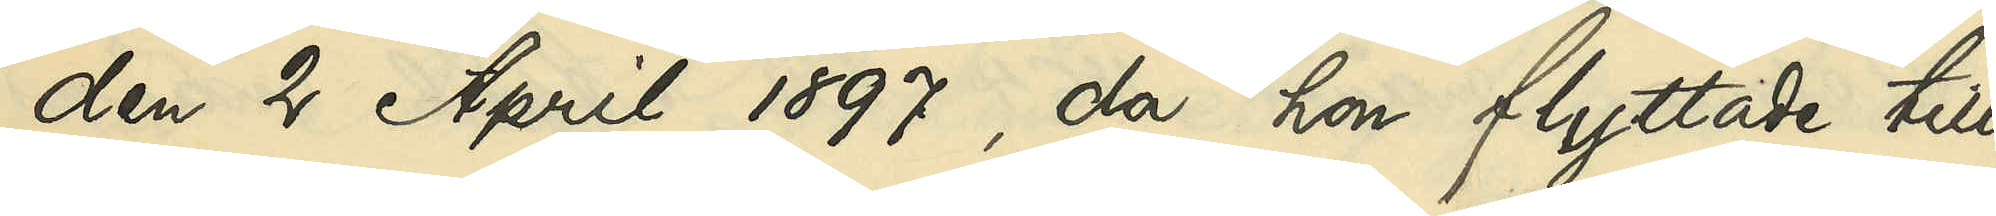den 2 April 1897, då hon flyttade till
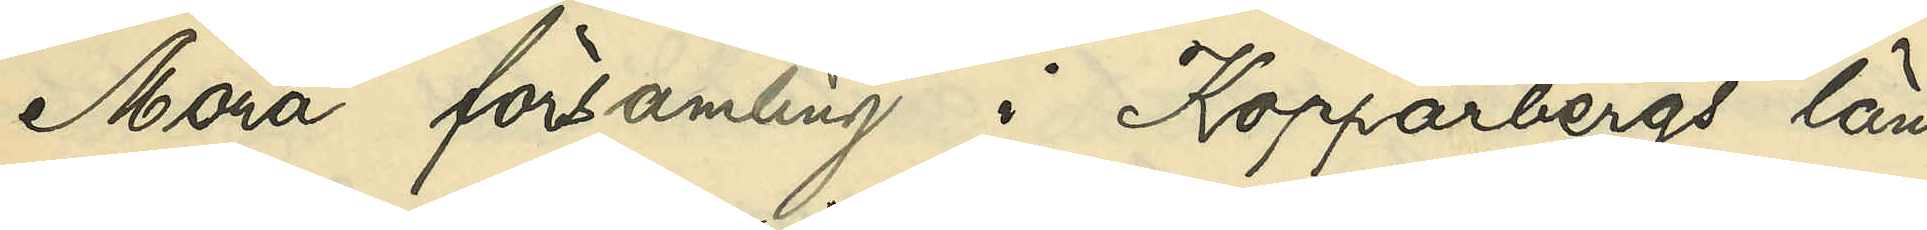Mora församling i Kopparbergs län,
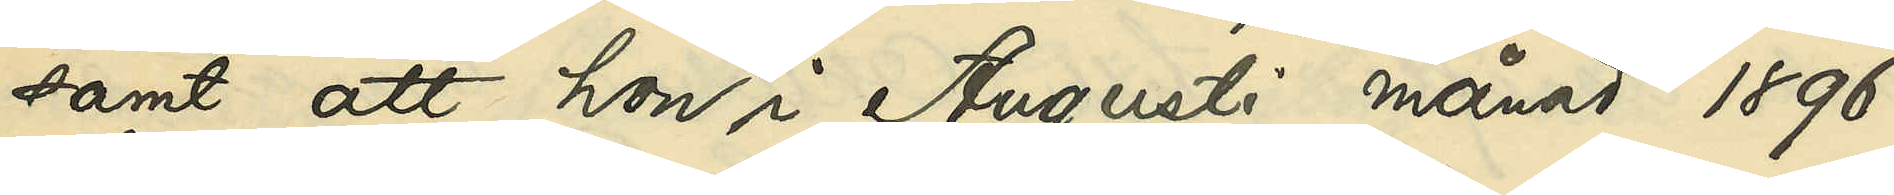samt att hon i Augusti månad 1896
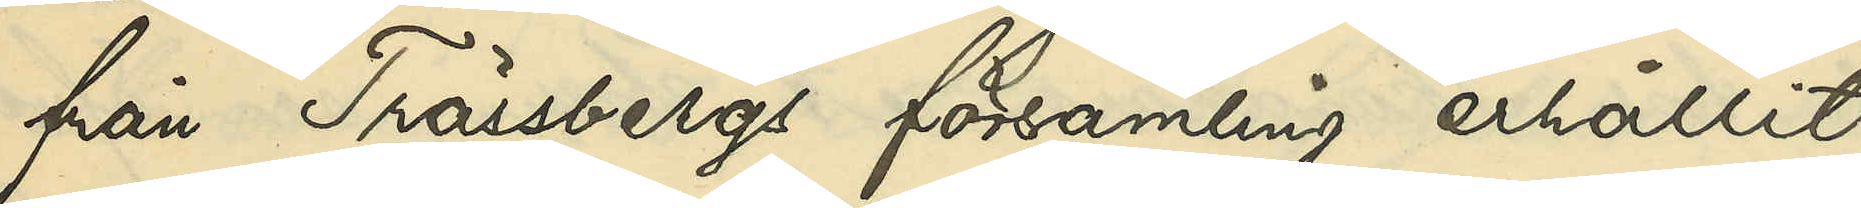från Trässbergs församling erhållit
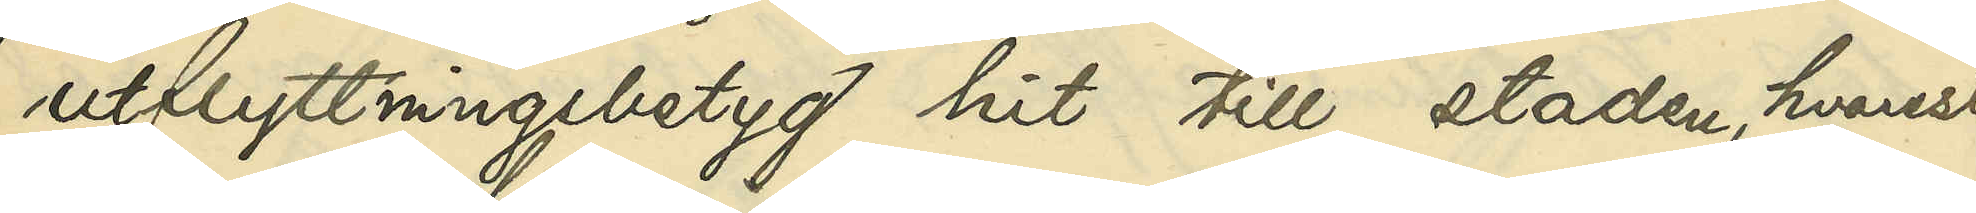utflyttningsbetyg hit till staden, hvarest
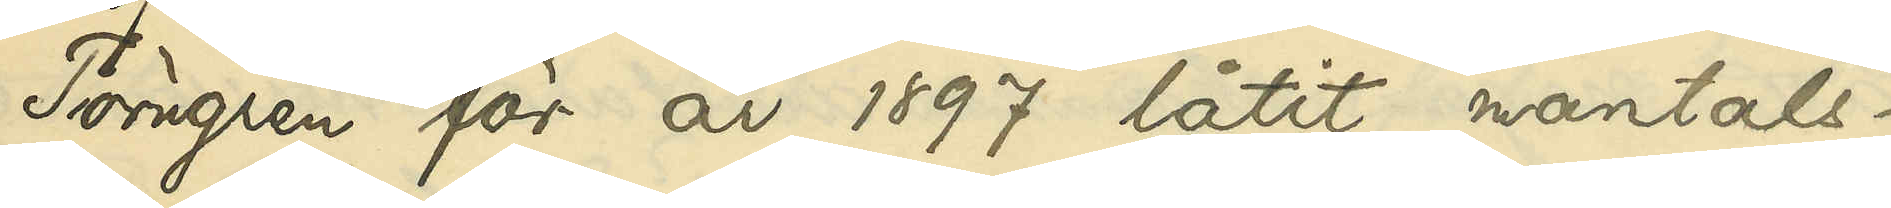Törngren för år 1897 låtit mantals¬
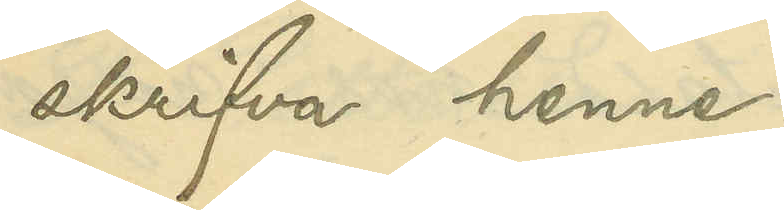skrifva henne.
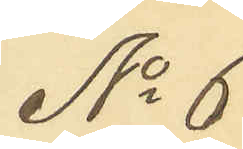No 6
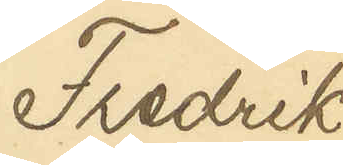Fredrik
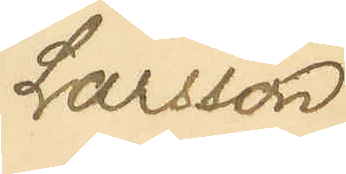Larsson
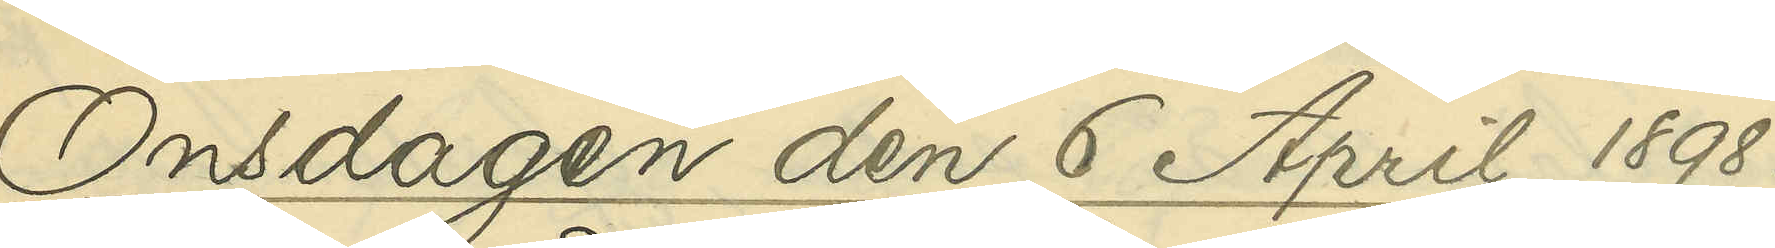Onsdagen den 6 April 1898.
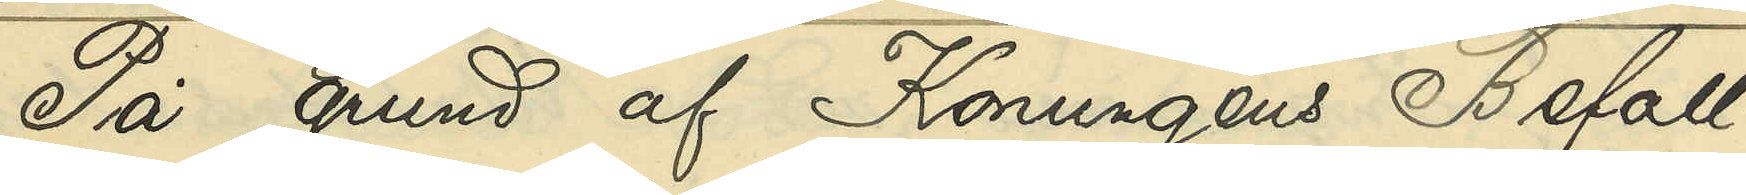På grund af Konungens Befall¬
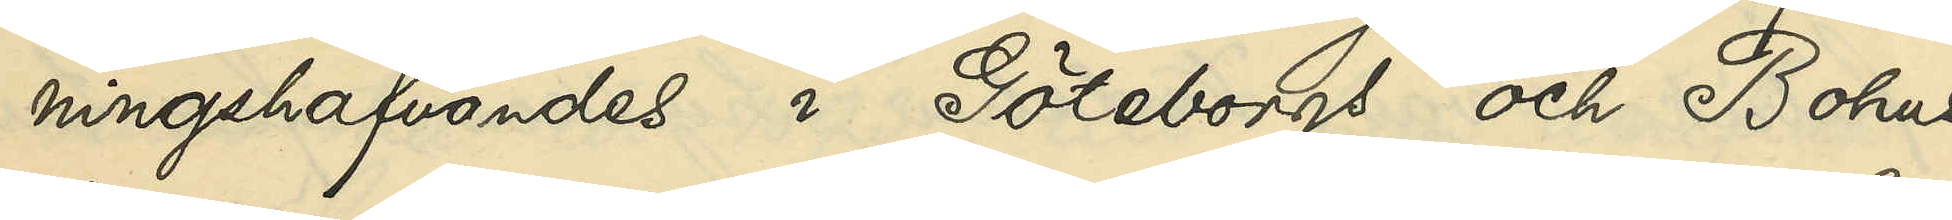ningshafvandes i Göteborgs och Bohus
